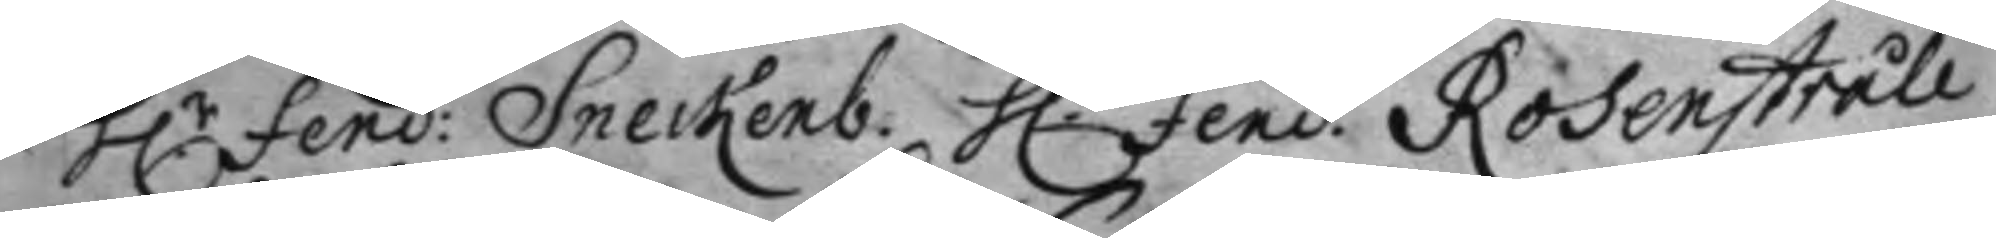H.r fend: Sneckenb: H.r Fend. Rosenstråle 
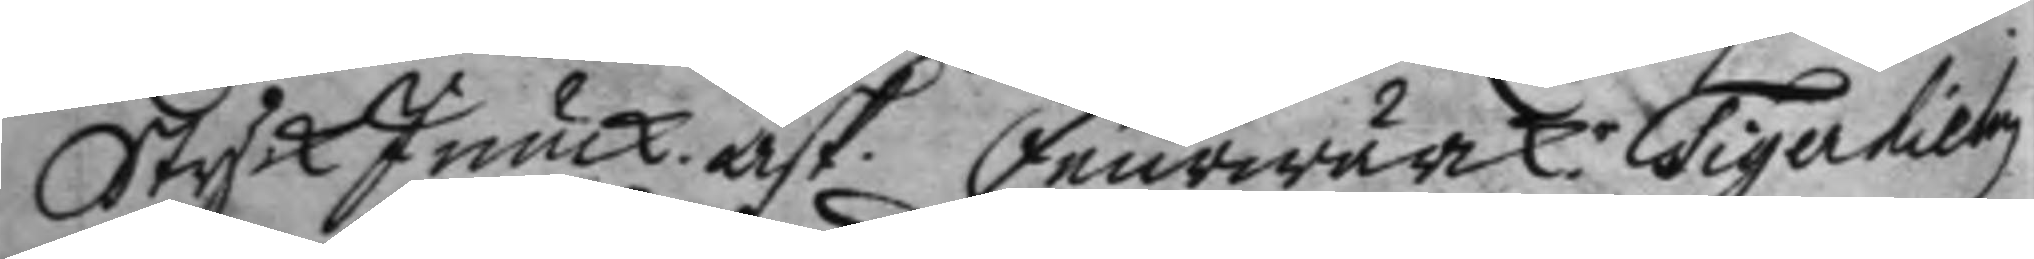Styck Junck. Ask. Feurwärck.r Tigerhielm
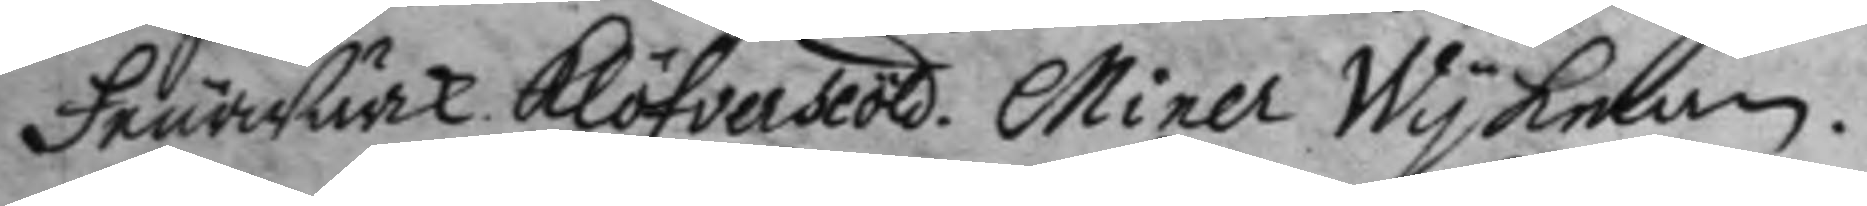FeurWärk. Klöfverscöld. Miner Wykman.
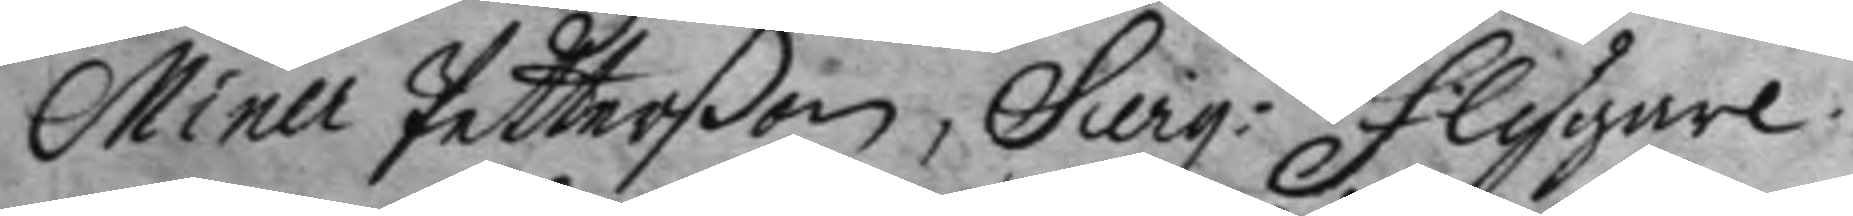Miner Petterßon, Sierg: Flygare. 
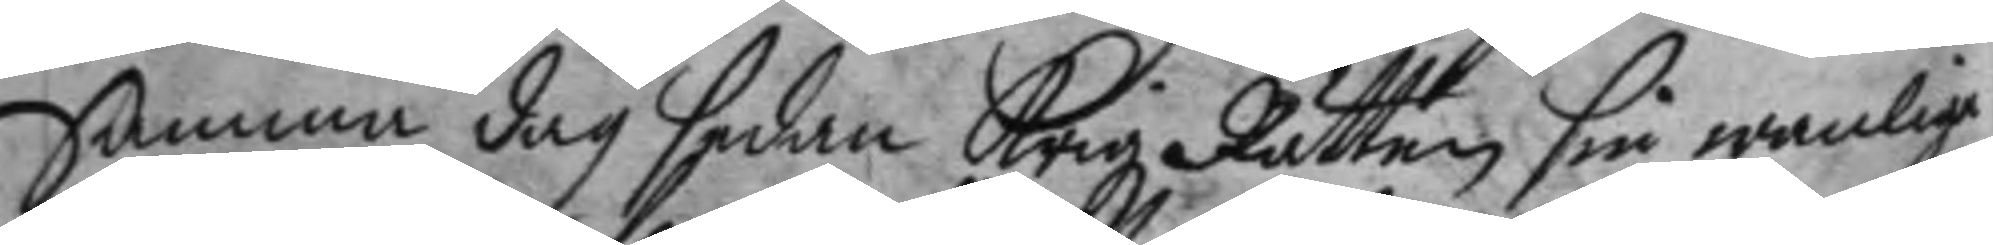Samma dag sedan Krigz Rätten sin wanlige
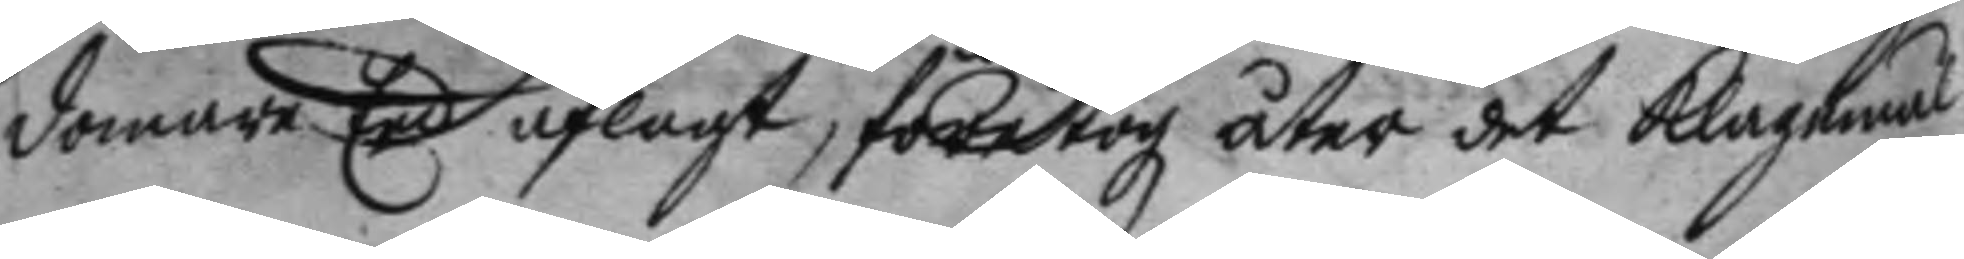domare Eed aflagt, företogz åter det klagemål
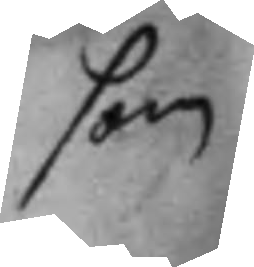som
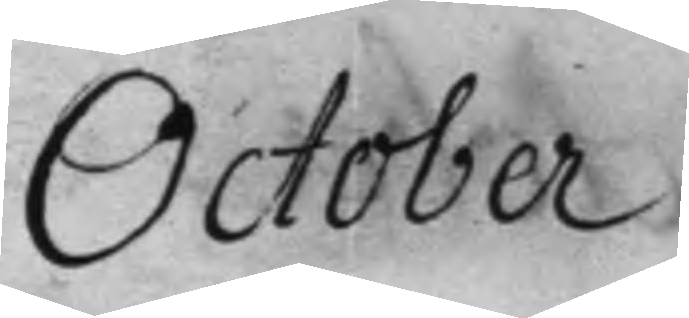October
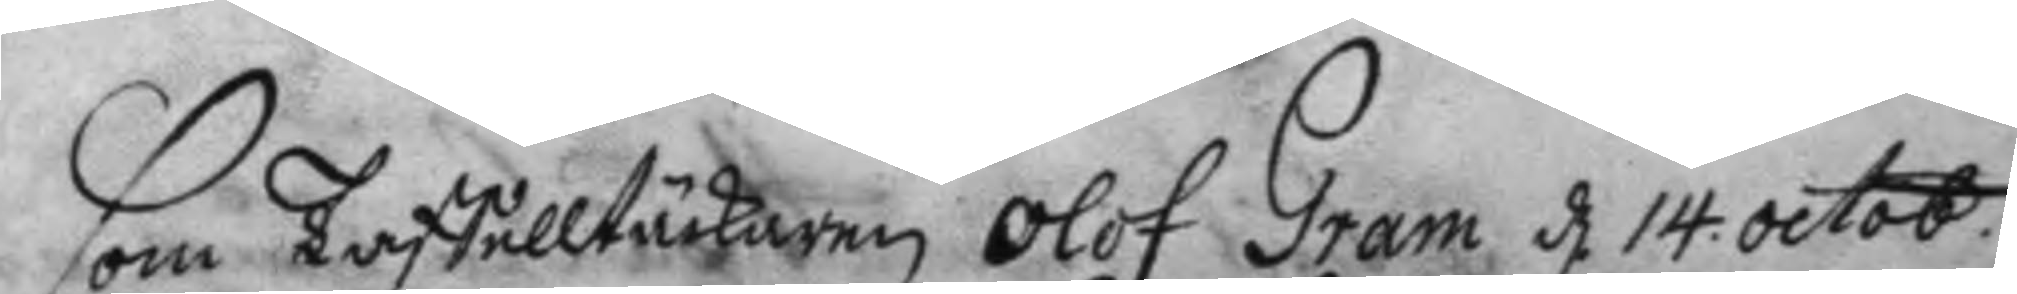som Taffelltäckaren Olof Gram d 14 octob: 
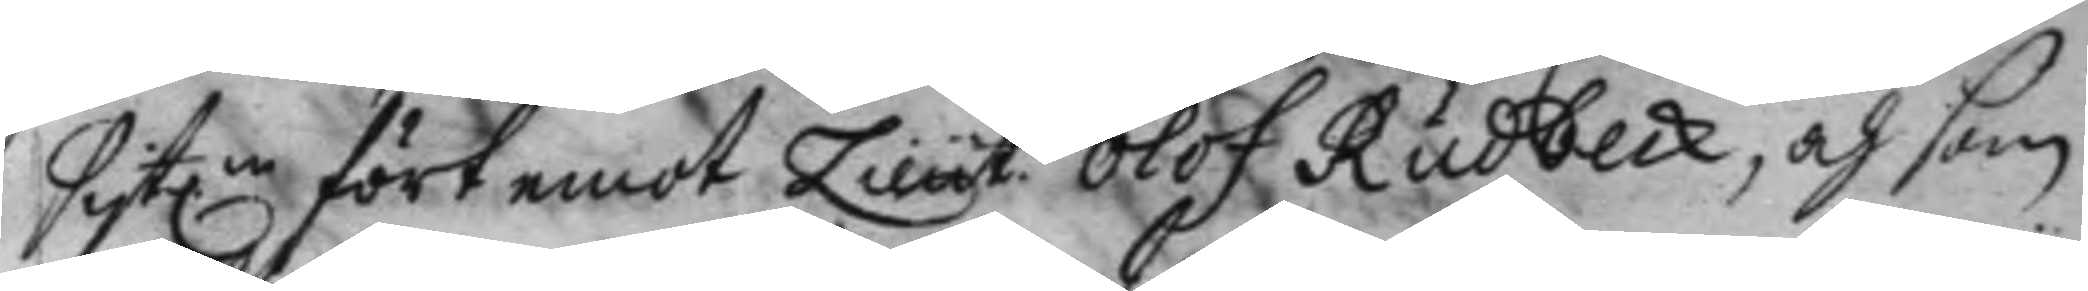sistne fört emot Lieut. Olof Rudbeck, och som 
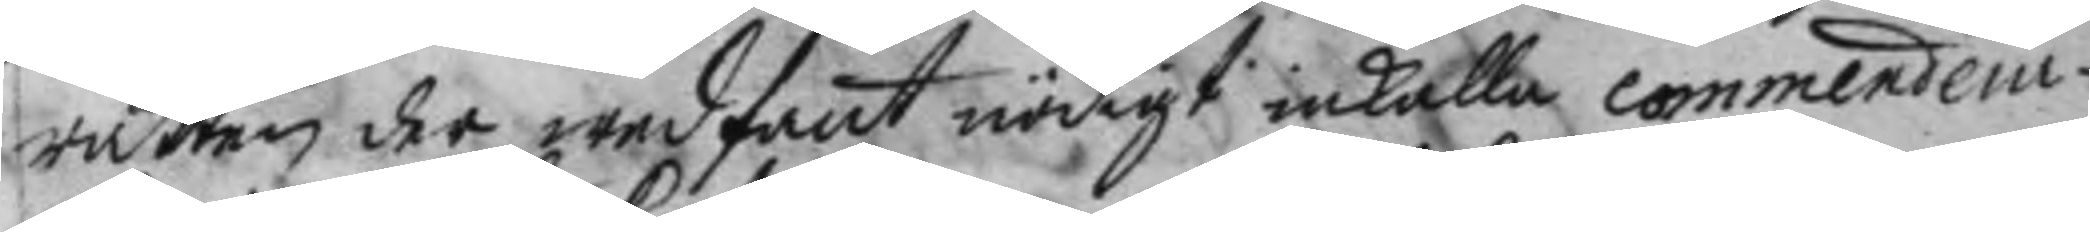rätten der wed fant nödigt inkalla commendein¬
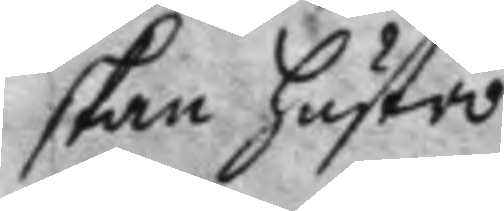skan hustro 
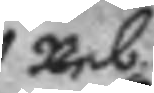Reb.
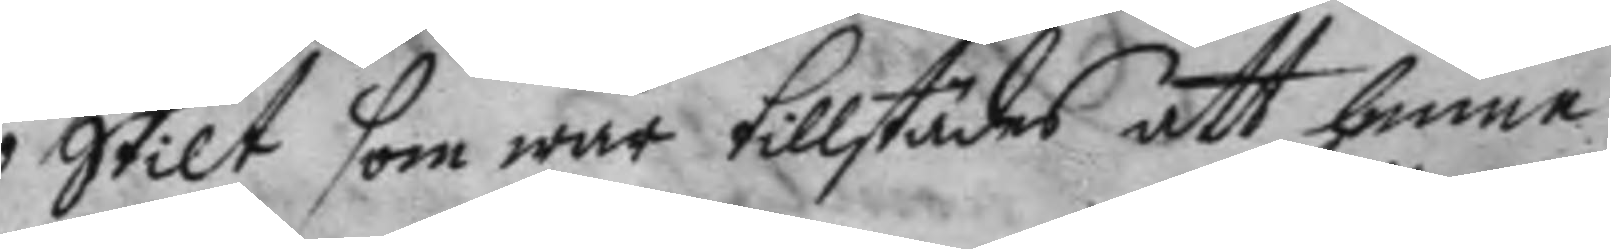Skilt som war tillstädes att henne
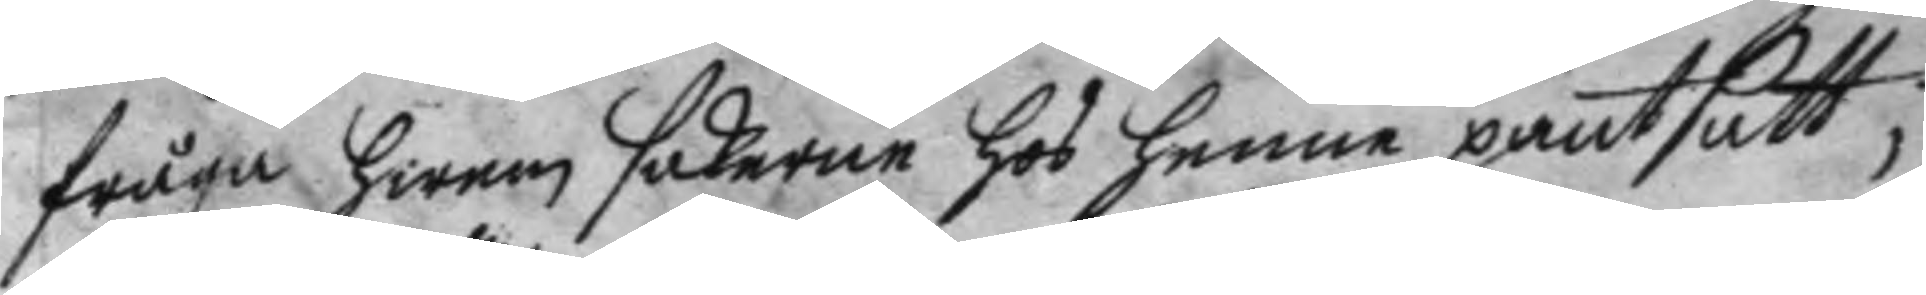fråga hwem sakerne hos henne pantsatt;
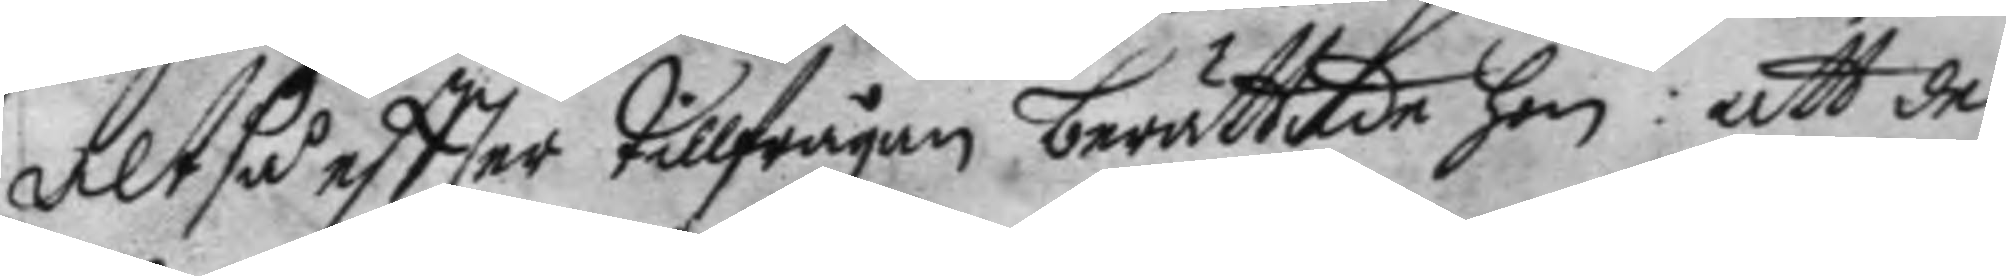Altså eftter tillfrågan berättade hon: att de
